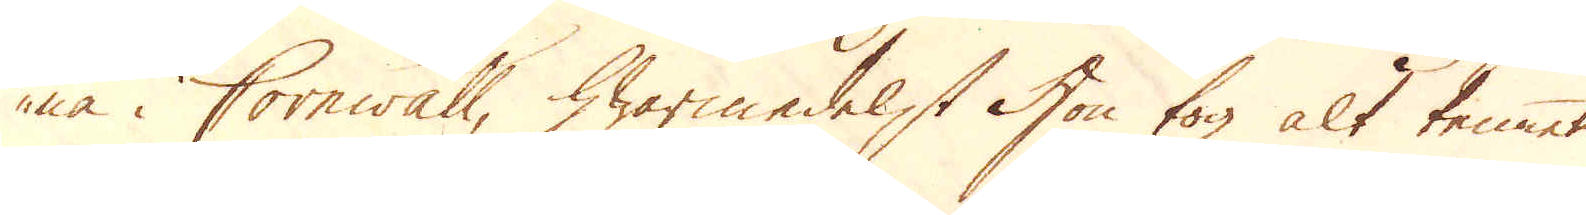na i Cornwall, hwarmedelst Hon tog alt tennet
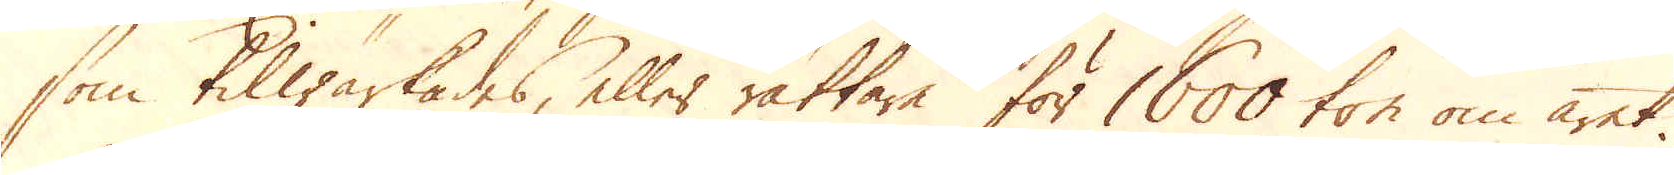som tilwärkades, eller rättare för 1600 ton om året.
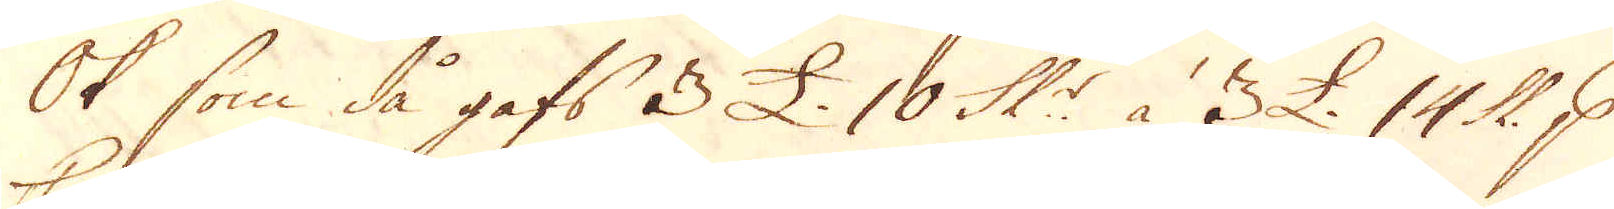Ok som då gafs 3 £. 10 Sk:r à 3 £. 14 Sk: p
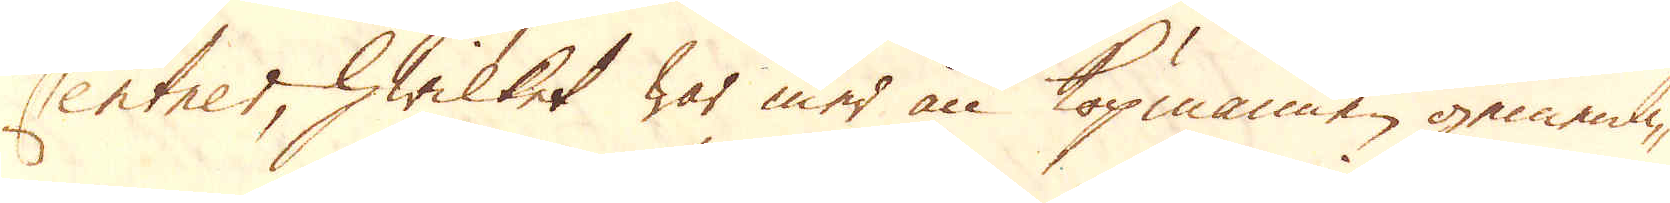Centner, hwilket war mer än köpmannen gemenli-
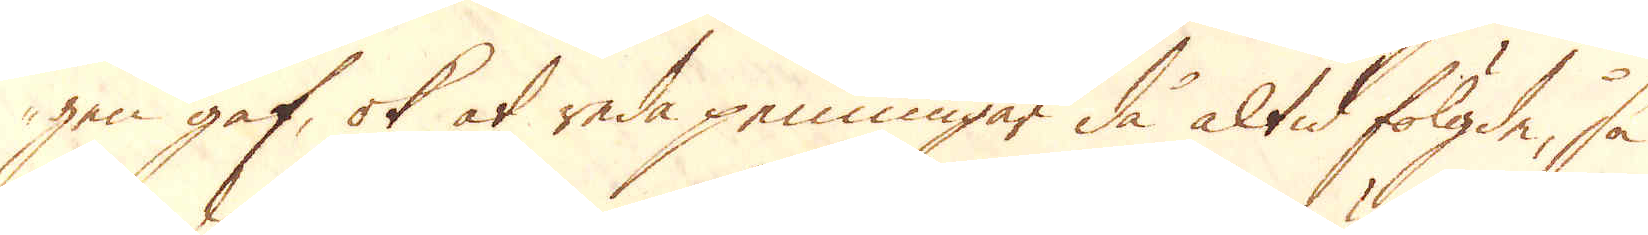gen gaf, ok at reda penningar då altid fölgde, så
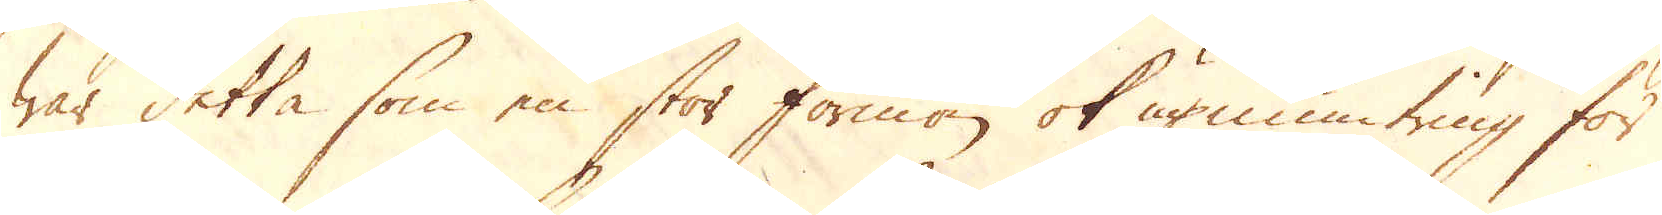war detta som en stor förmon ok upmuntring för
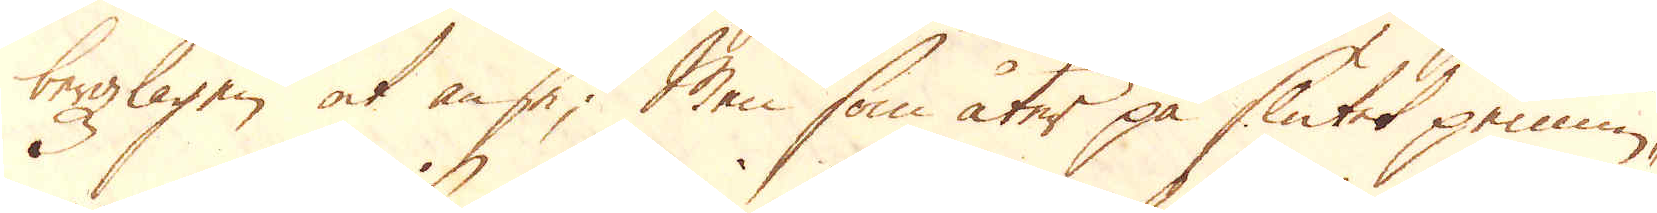bergzlagen at anse; Men som åter på slutet pennin-
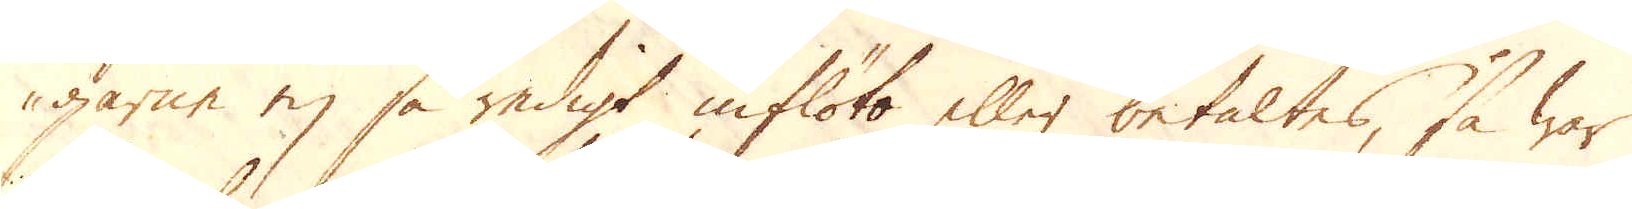garne ej så redigt inflöto eller betaltes, så war
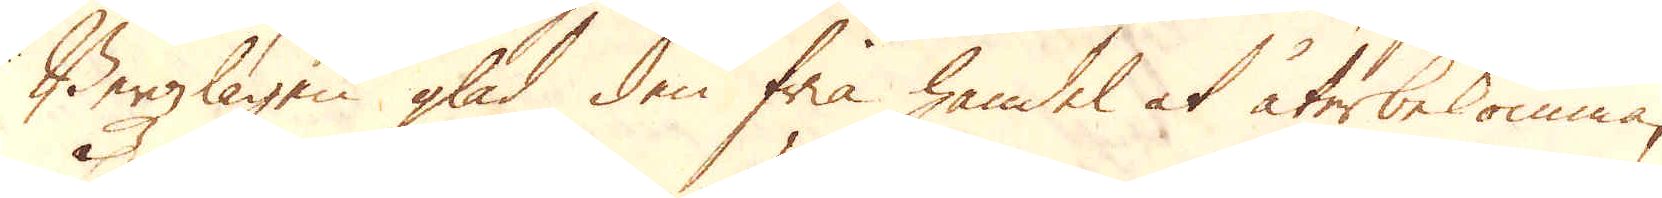Bergzlagen glad den fria handel at återbekomma,
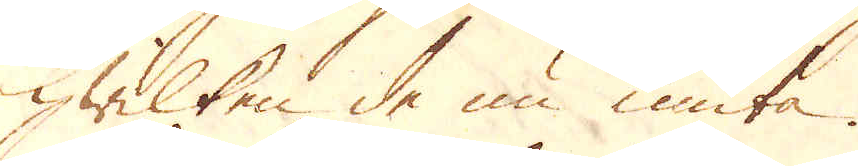hwilken de nu niuta.
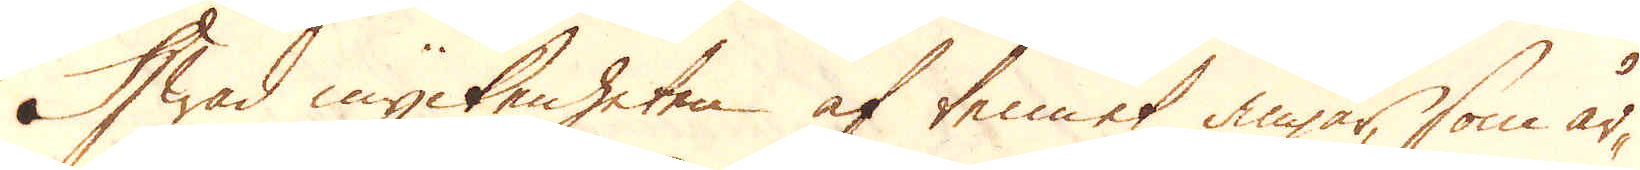Hwad myckenheten af tennet angår, som år-
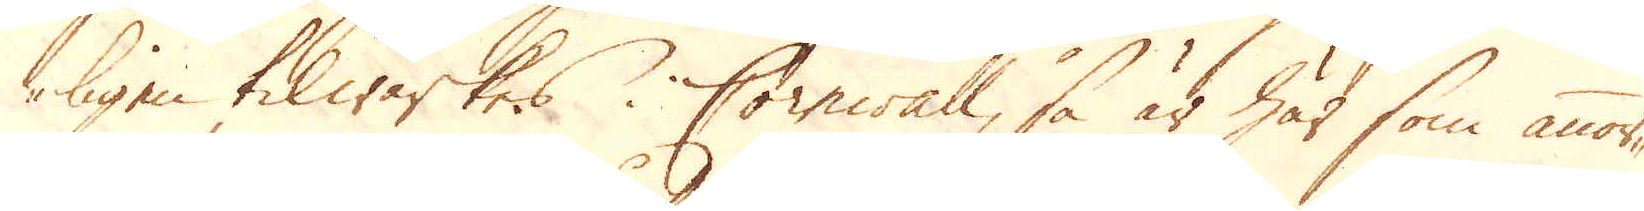ligen tilwärkes i Cornwall, så är här som annor-
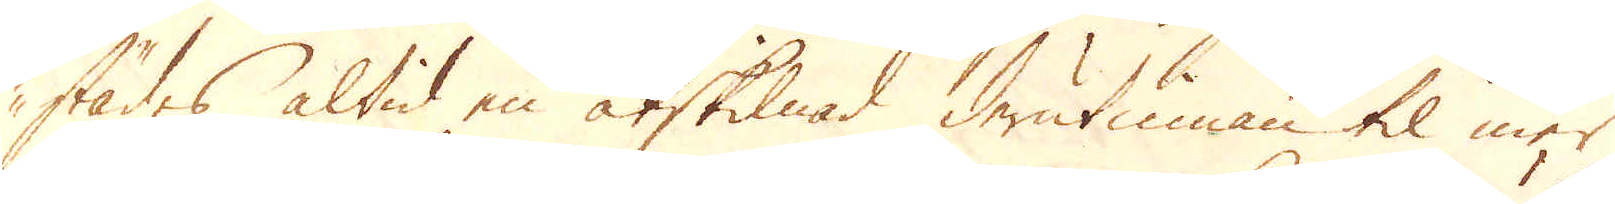städes altid en åtskilnad derutinnan til mer
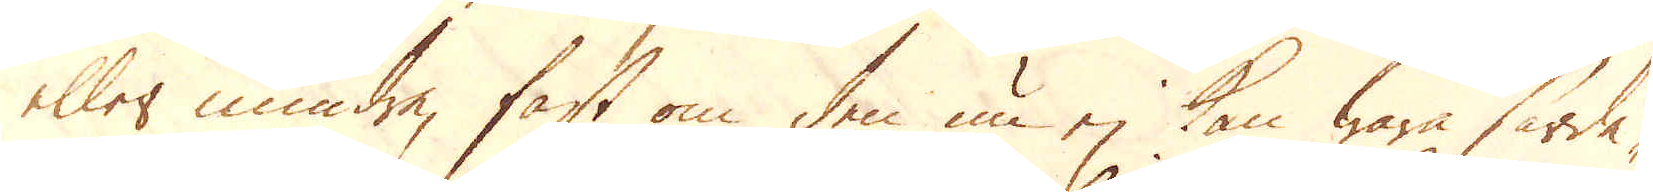eller mindre, fast om den nu ej kan wara särde-
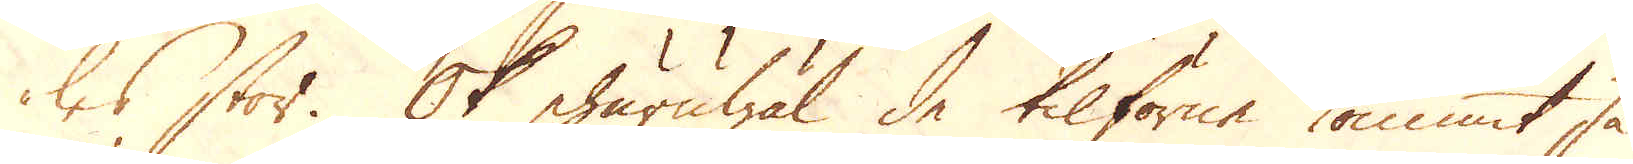les stor. Ok ehuruwäl de tilförne kommit så
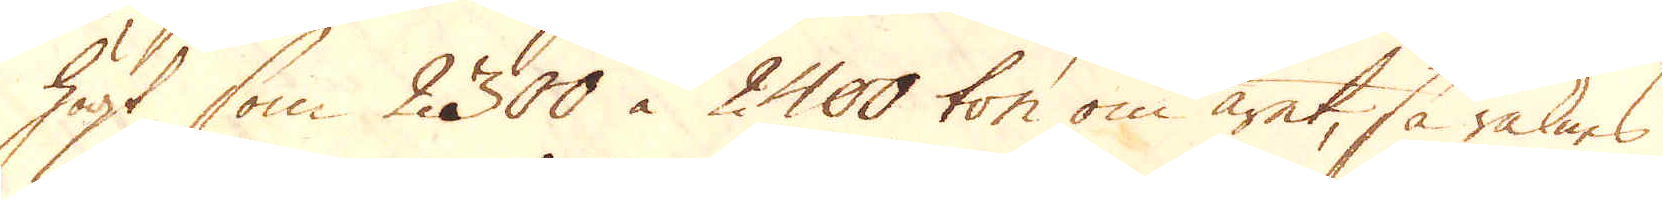högt som 2300 à 2400 ton om året, så räknas
